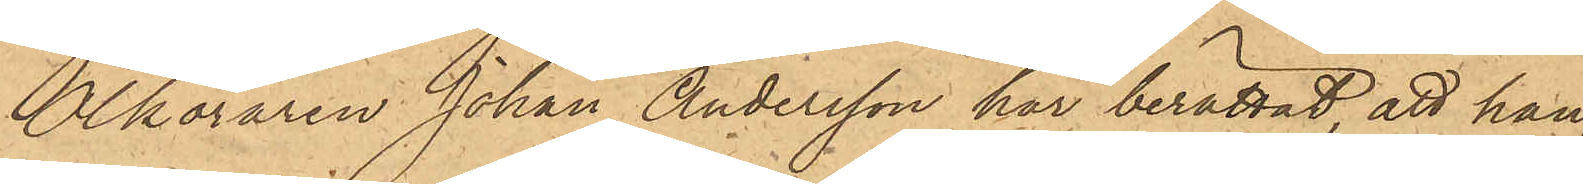Ölköraren Johan Andersson har berättat, att han,
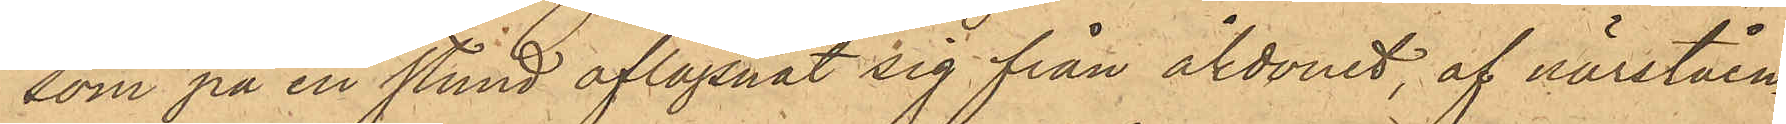som på en stund aflägsnat sig från åkdonet, af närståen¬
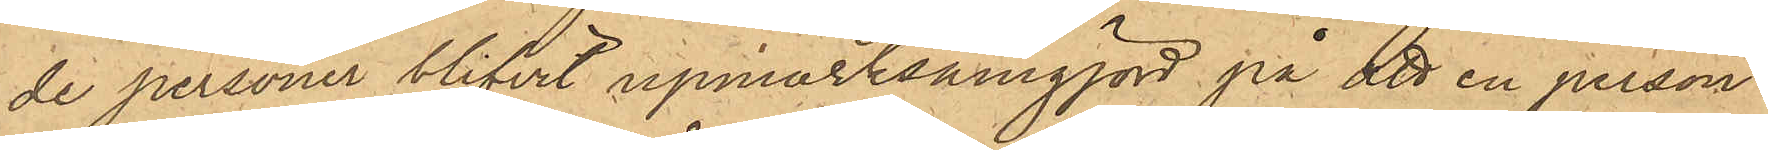de personer blifvit upmärksamgjord på att en person
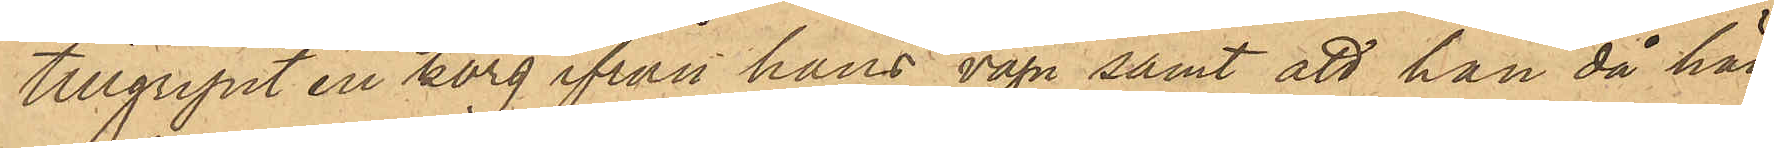tillgripit en korg ifrån hans vagn samt att han då hän¬
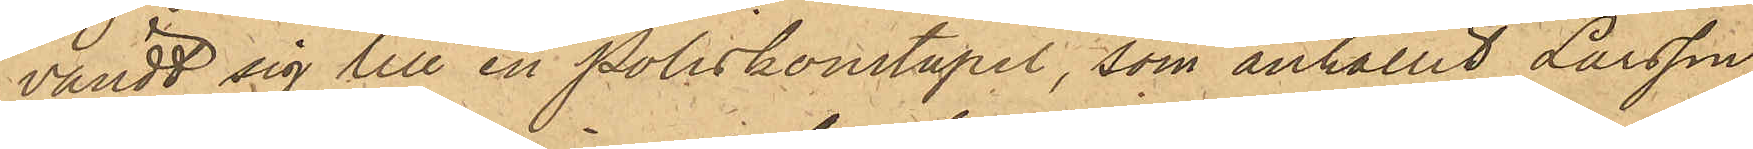vändt sig till en poliskonstapel, som anhållit Larsson,
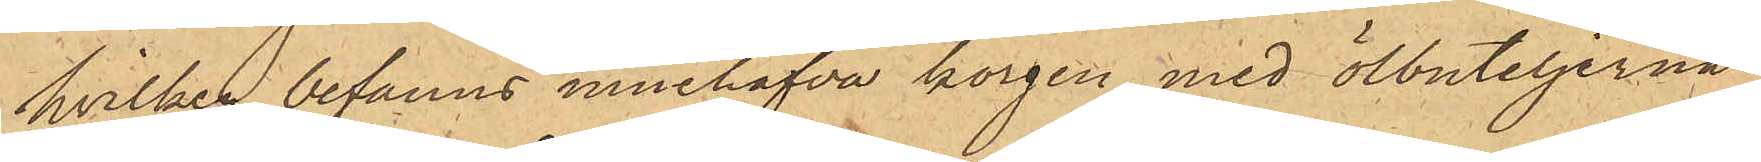hvilken befanns innehafva korgen med ölbuteljerna,
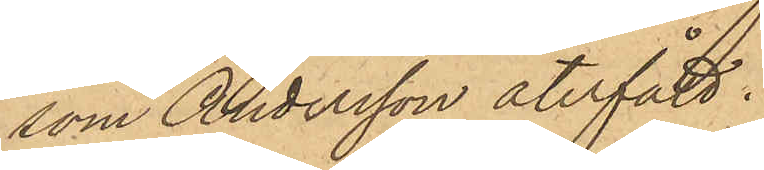som Andersson återfått:
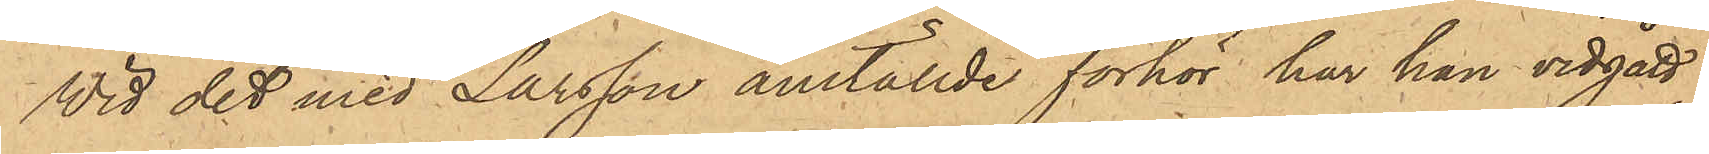Wid det med Larsson anställde förhör har han vidgått
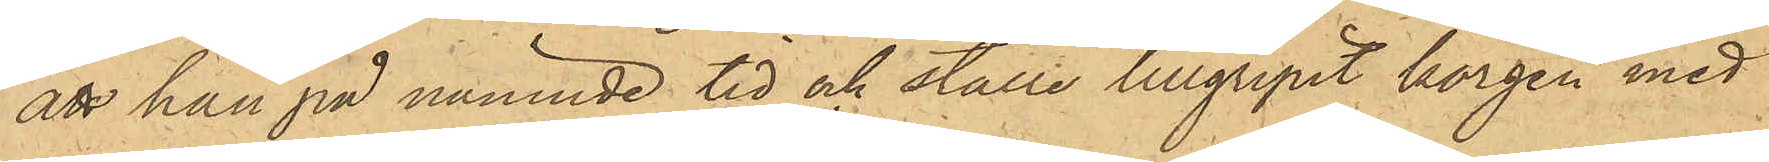att han på nämnde tid och ställe tillgripit korgen med
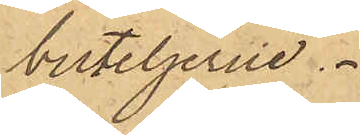buteljerne.
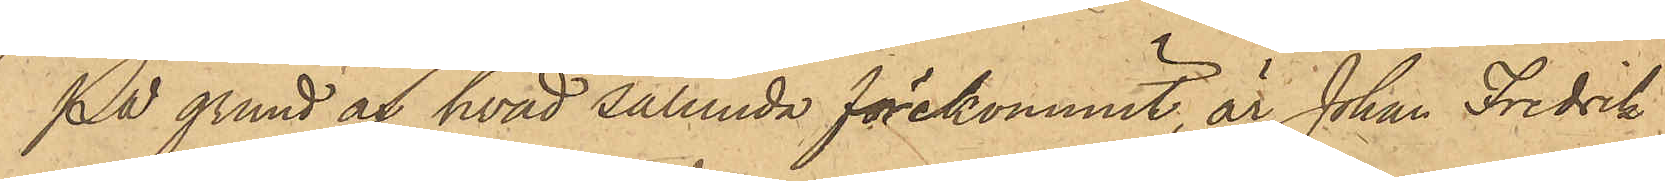På grund af hvad sålunda förekommit, är Johan Fredrik
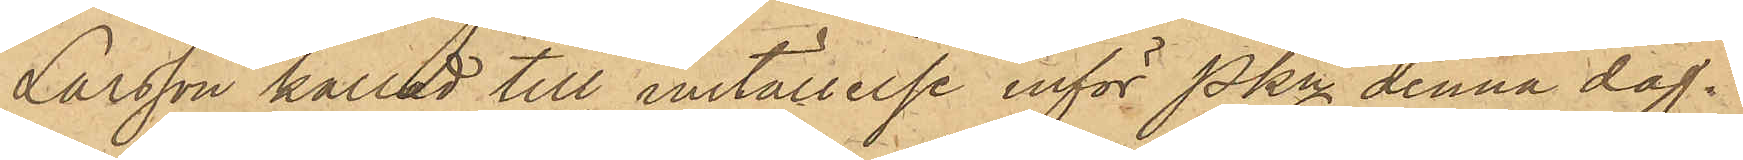Larsson kallad till inställelse inför Pkn denna dag.
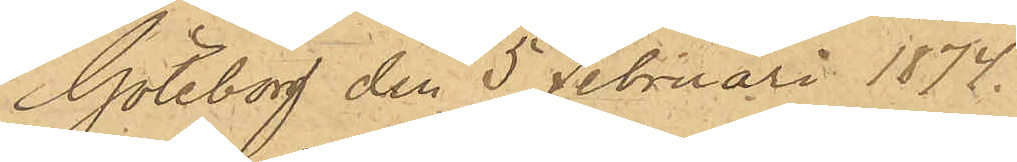Göteborg den 5 Februari 1874.
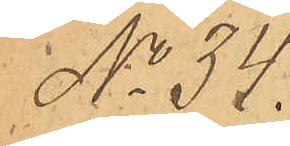No 34.
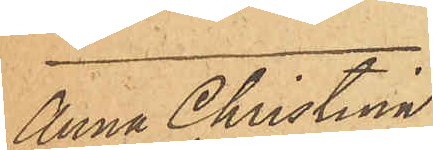Anna Christina
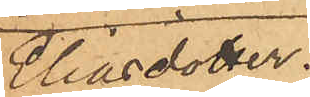Eliasdotter.
